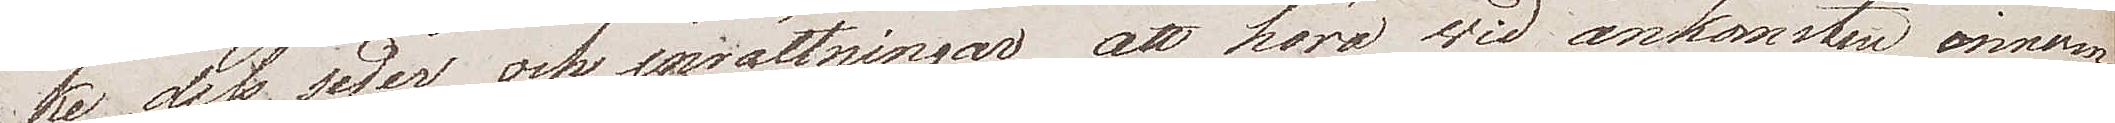ke, dess seder och inrättningar, att höra wid ankomsten innom
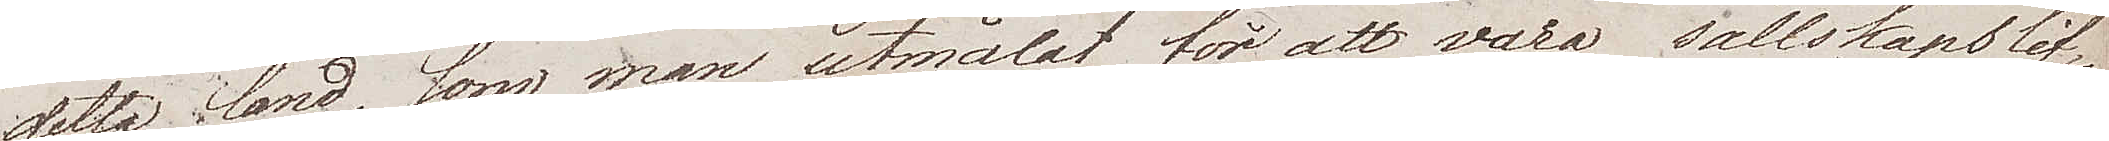detta land, som man utmålat för oss att vara  sällskapslif¬
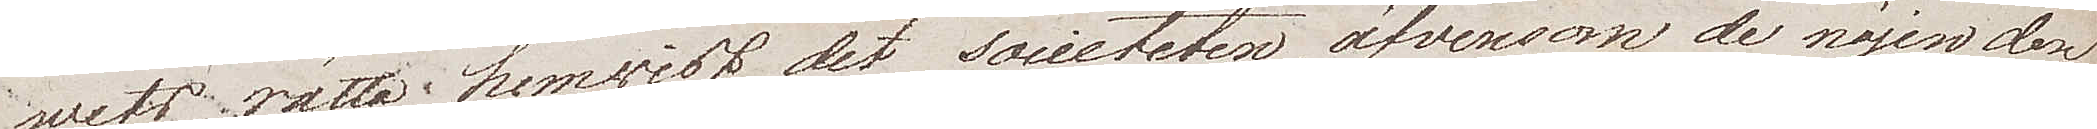wets rätta hemwist, det societeten, äfvensom de nöjen den 
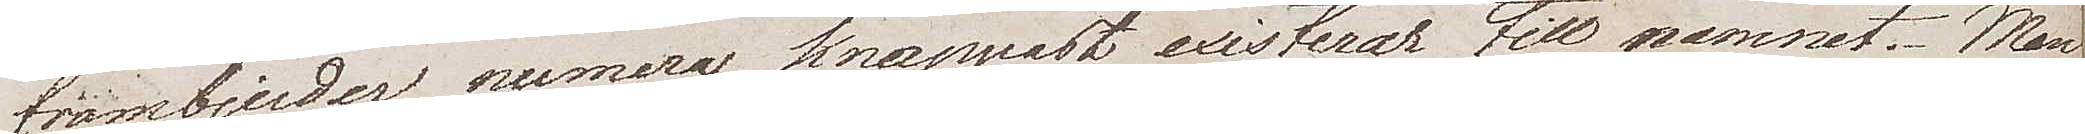frambjuder, numera knappast existerar till namnet. Man
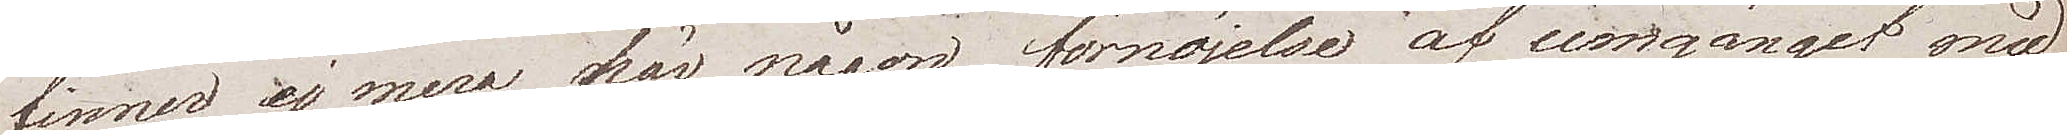finner ej mera här någon förnöjelse af umgänget med
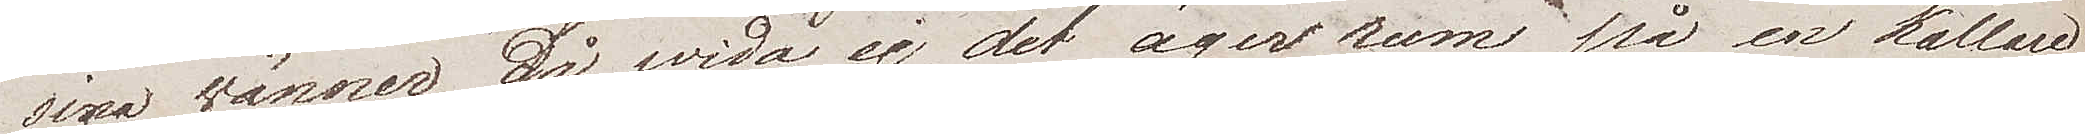sina wänner, såwida ej det äger rum på en källare
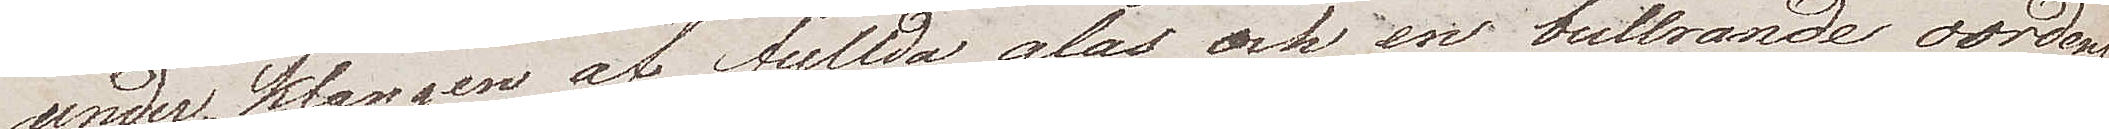under klangen af fyllda glas och en bullrande oordent¬
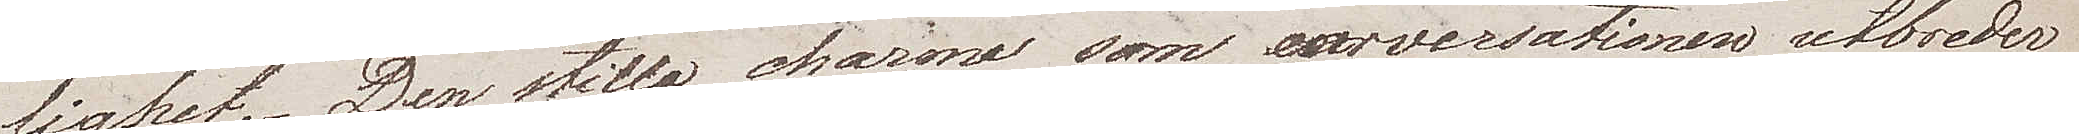lighet. Den stilla charme som conversationen utbreder
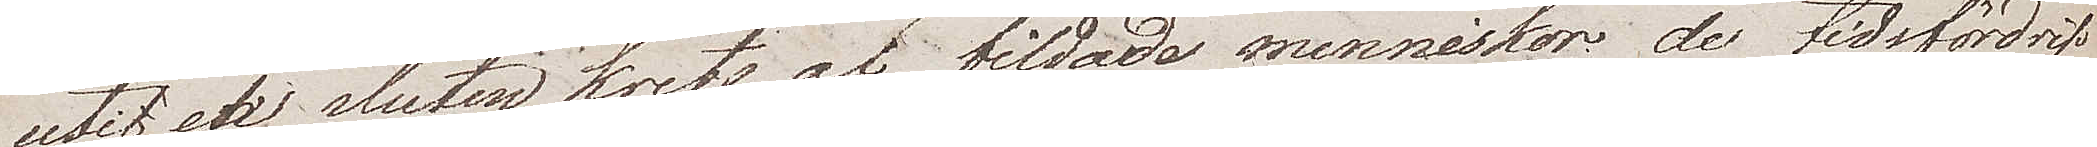til en sluten krets af bildade menniskor, de tidsfördrif
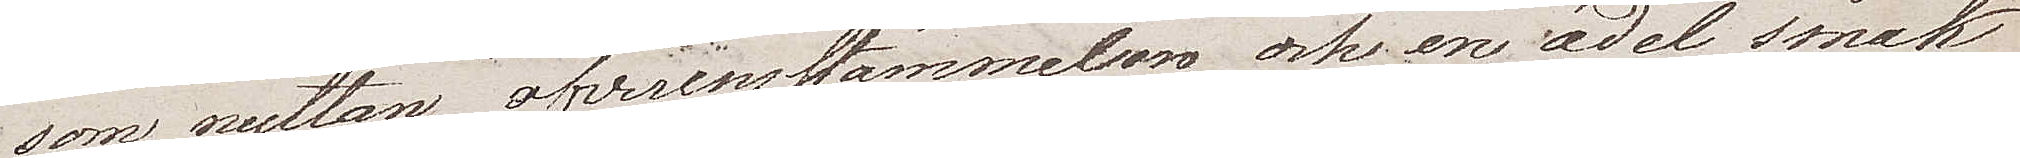som nyttan, öfverensstämmelsen och en ädel smak
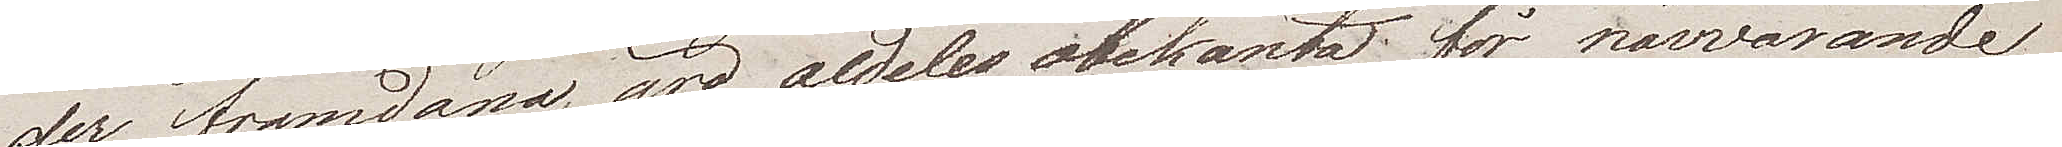der framdana, äro aldeles obekanta för närvarande
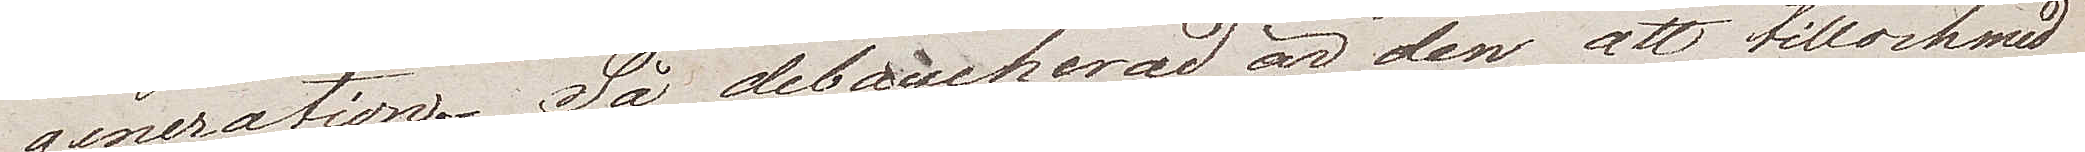generationer. Så debaucherad är den, att tillochmed
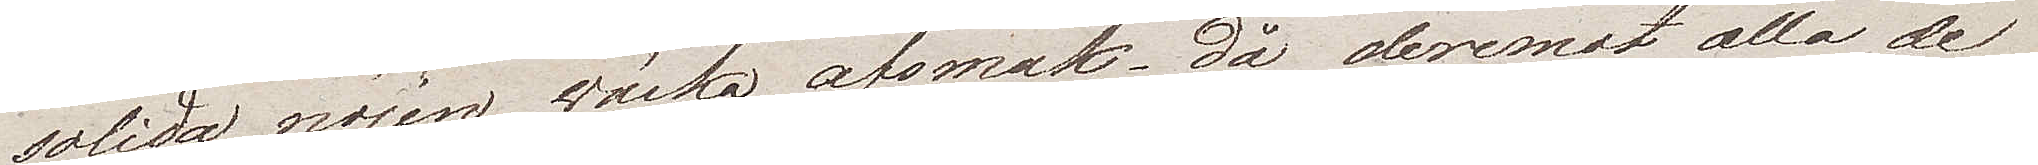solida nöjen, wäcka avsmak, då deremot alla de
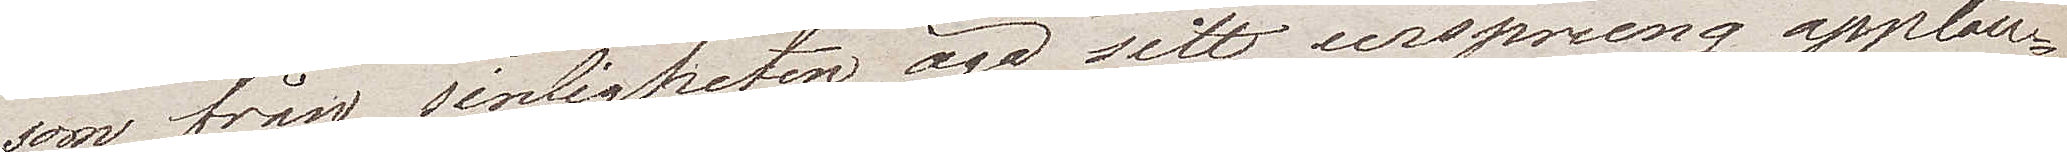som från sinligheten äga sitt ursprung applau¬
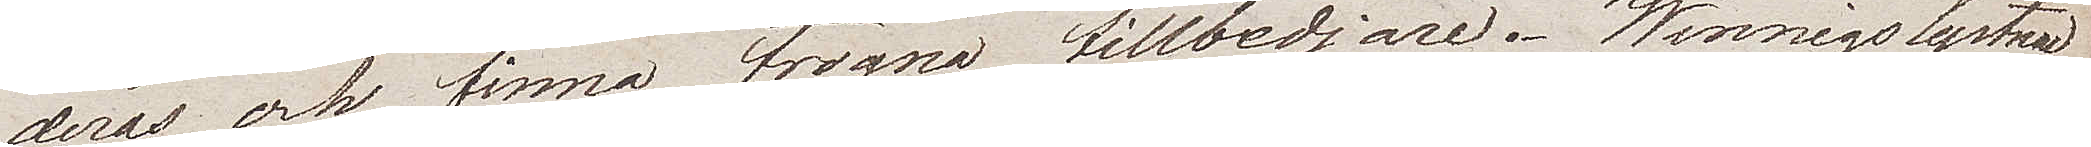deras och finna trogna tillbedjare. Winnigslystnad
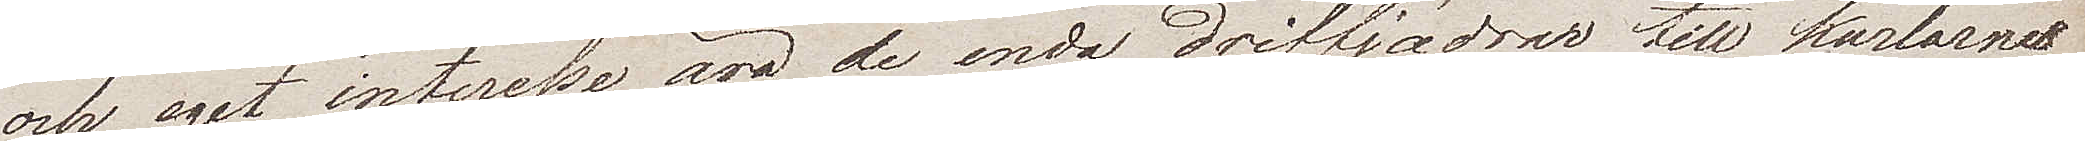och eget interesse äro de enda driffjädrarna till karlarnas
